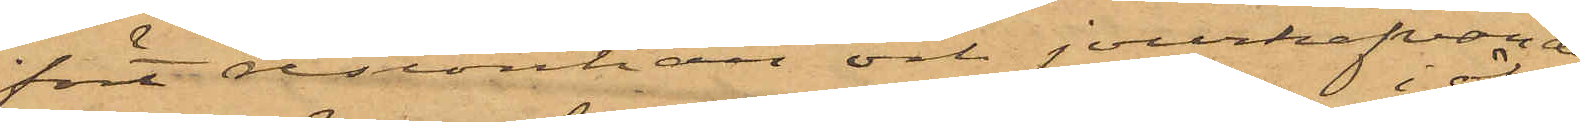fört reskontran och jourhafvande
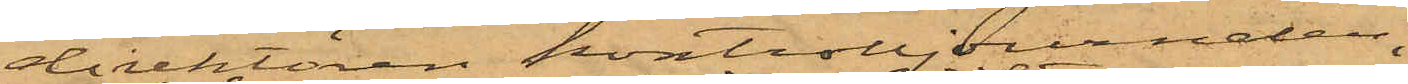direktören kontrolljournalen.
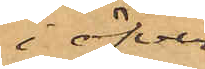i öfver¬
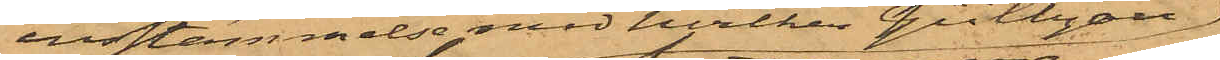ensstämmelse med hvilken Gültzau
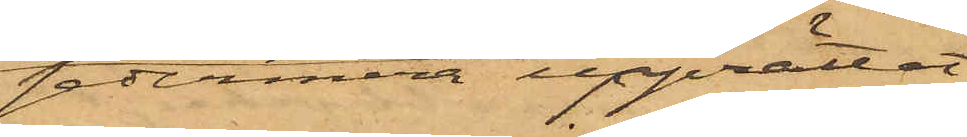sedermera upprättat
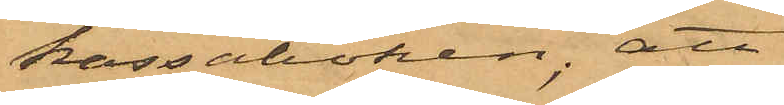kassaboken; att
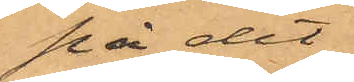på det
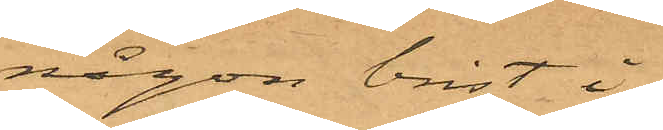någon brist i
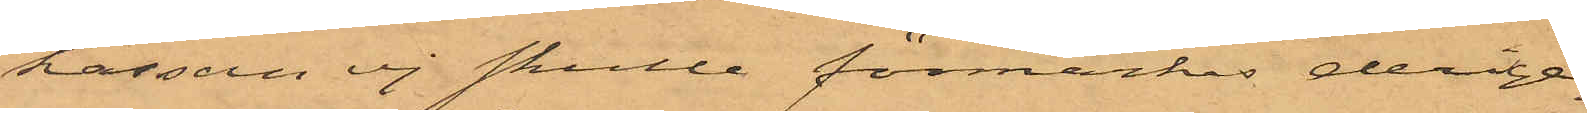kassan ej skulle förmärkas derige¬
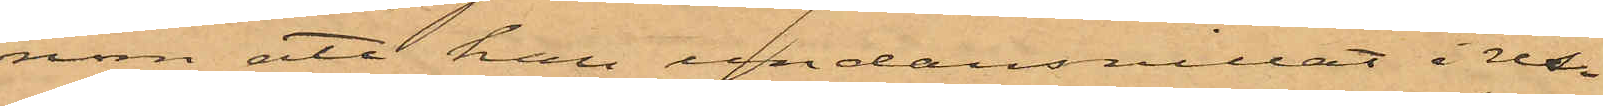nom att han undansnillat i res¬
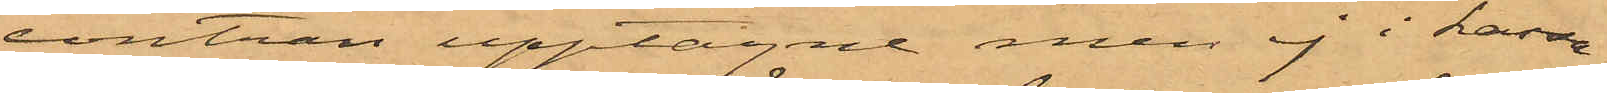contran upptagne men ej i kassa¬
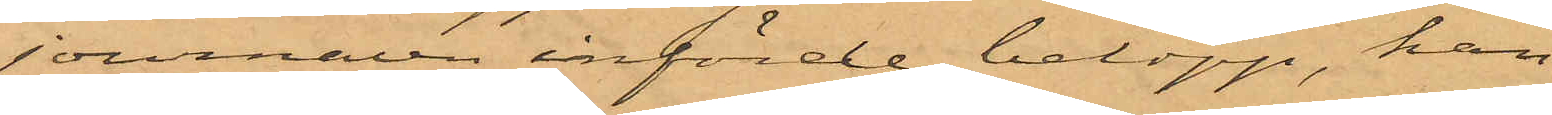journalen införde belopp, han
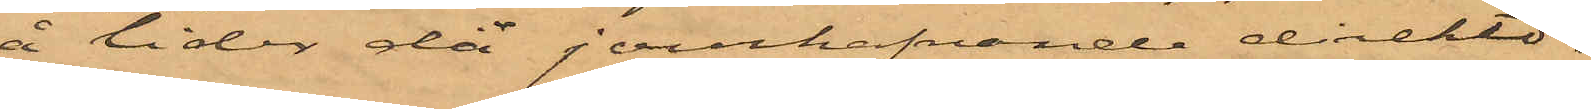å tider då jourhafvande direktö¬
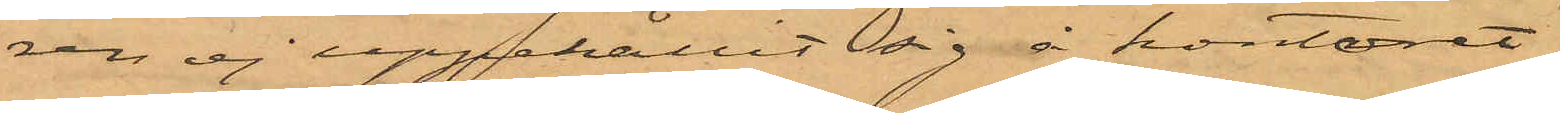ren ej uppehållit sig å kontoret,
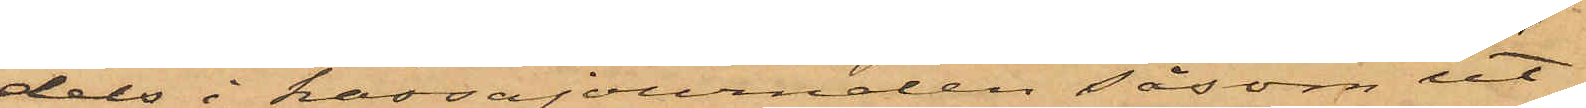dels i kassajournalen såsom ut¬
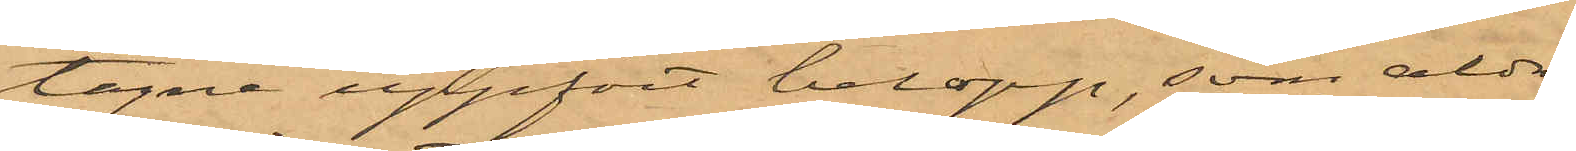tagne uppfört belopp, som aldrig
